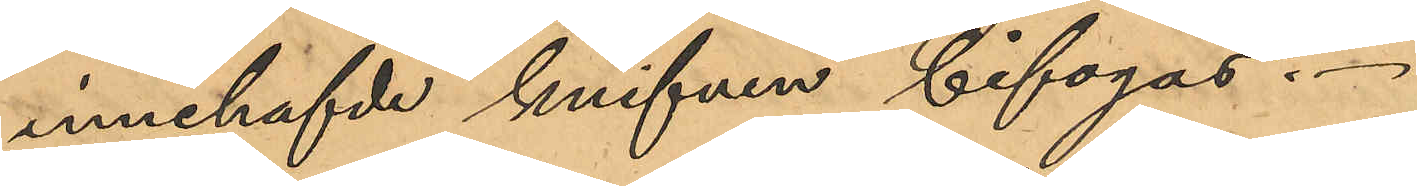innehafvde knifven bifogas.
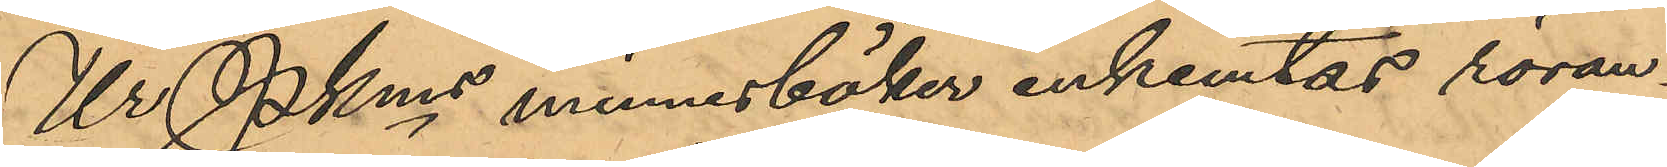Ur Pkms minnesböker inhemtas röran¬
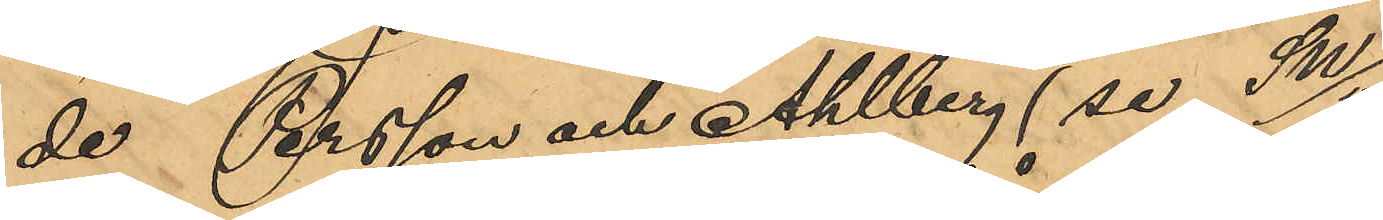de Persson och Ahlberg (se SW/5).
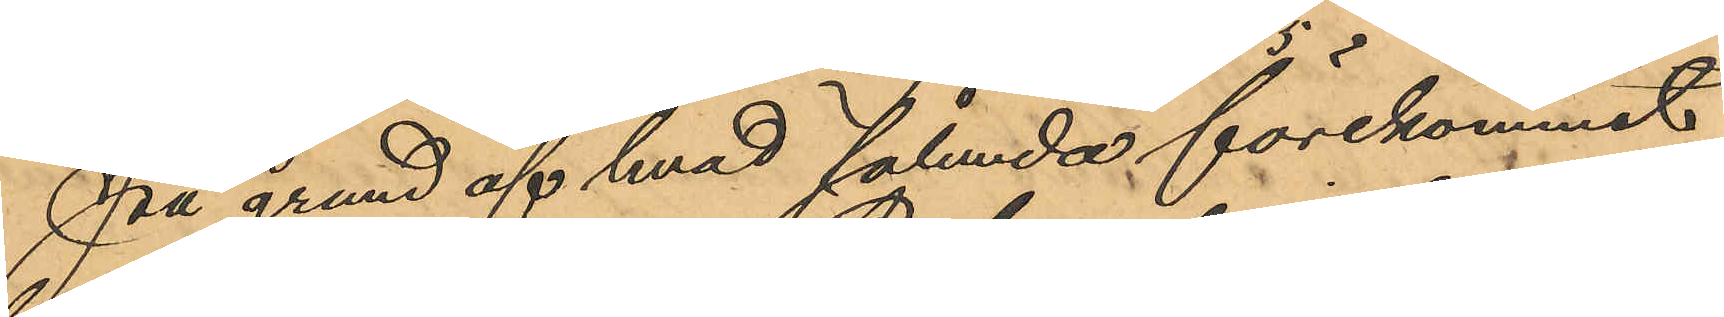På grund af hvad sålunda förekommit
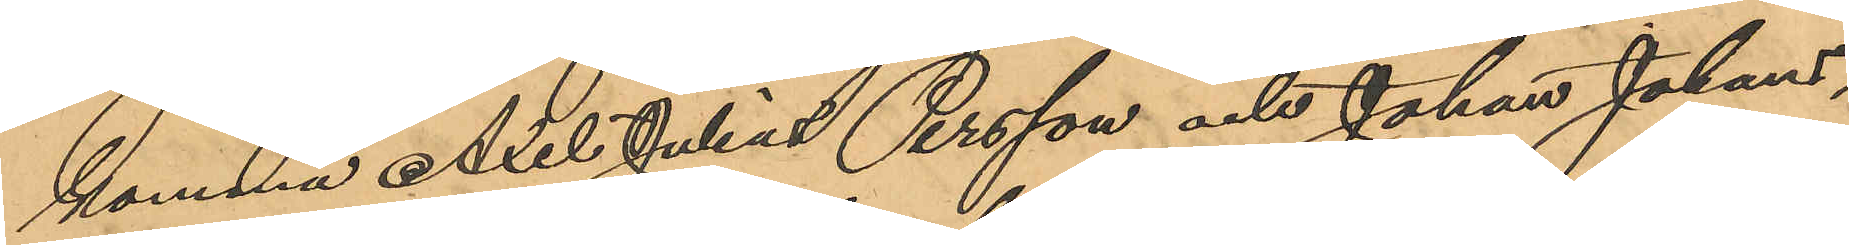komma Axel Julius Persson och Johan Johans¬
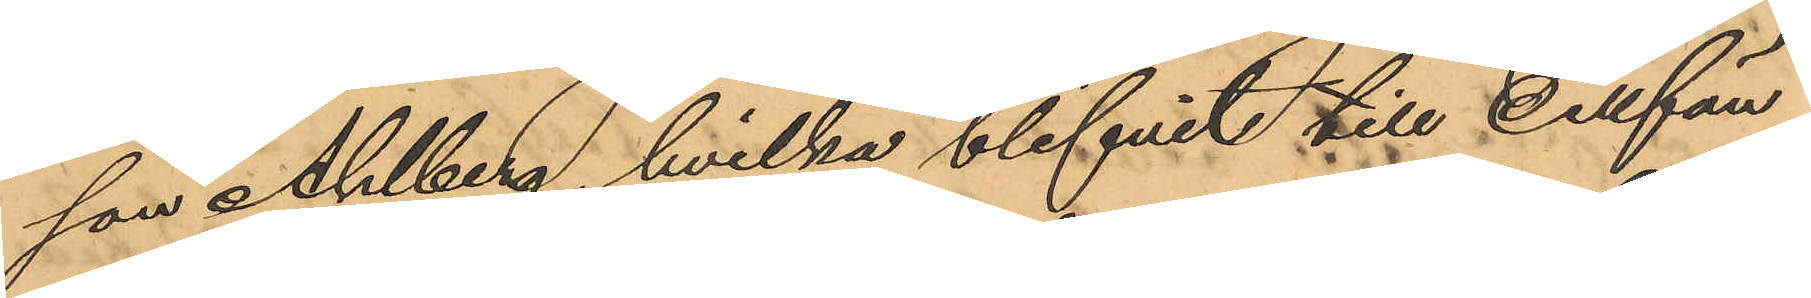son Ahlberg, hvilka blifvit till Cellfän¬
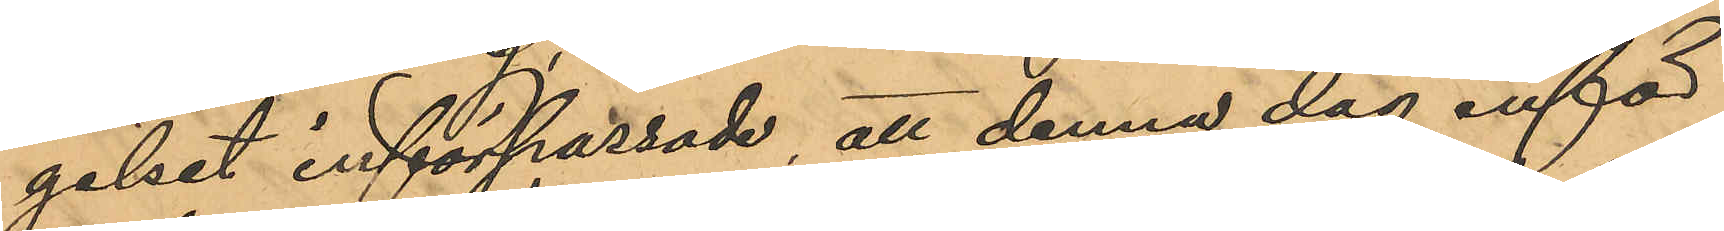gelset införpassade, att denna dag inför
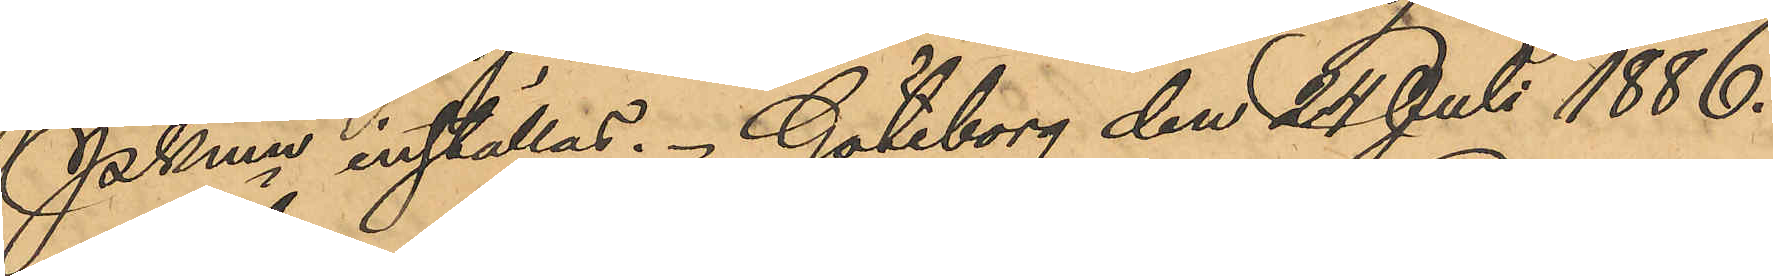PKmn inställas. Göteborg den 24 Juli 1886.
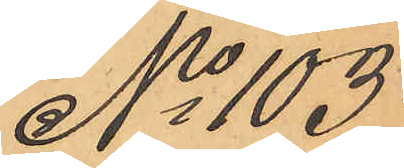No 103
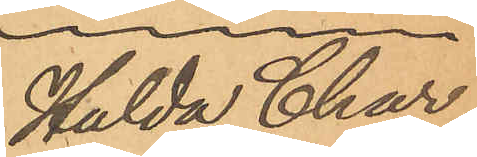Hulda Char¬
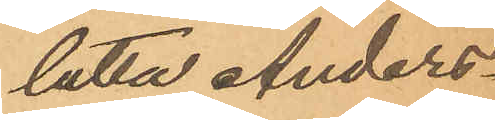lotta Anders¬
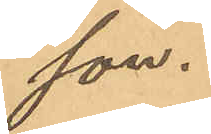son.
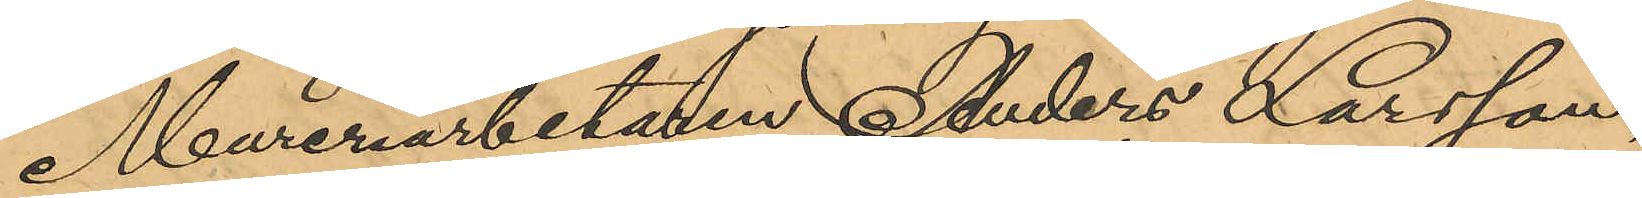Mureriarbetaren Anders Larsson,
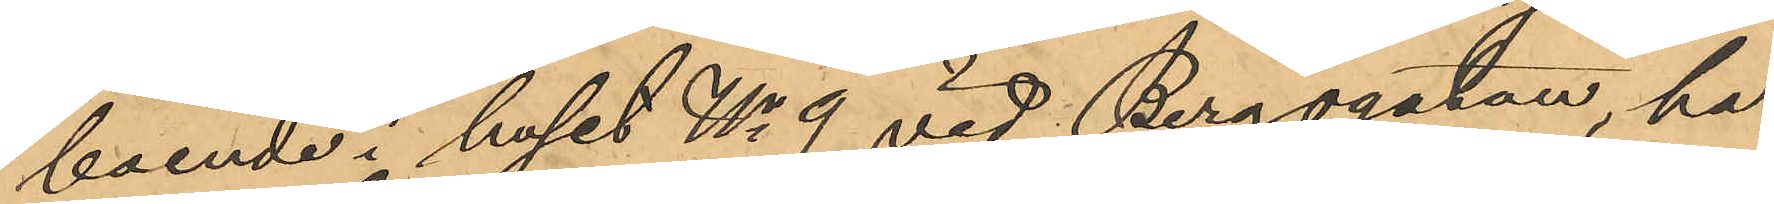boende i huset No 9 vid Bergsgatan, har
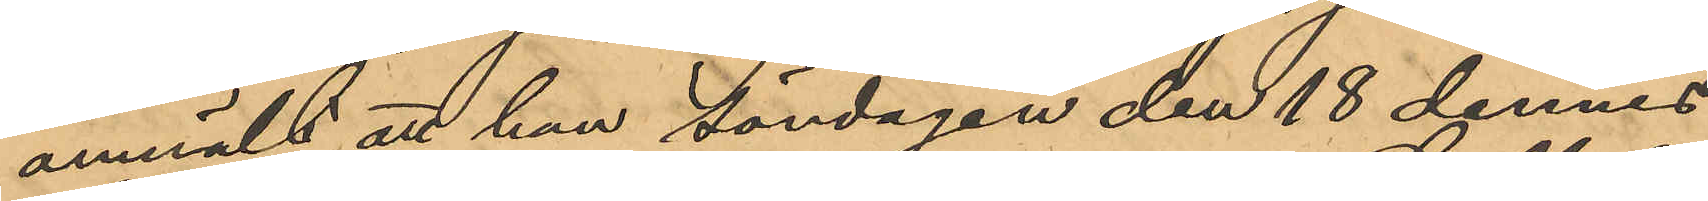anmält att han Söndagen den 18 dennes
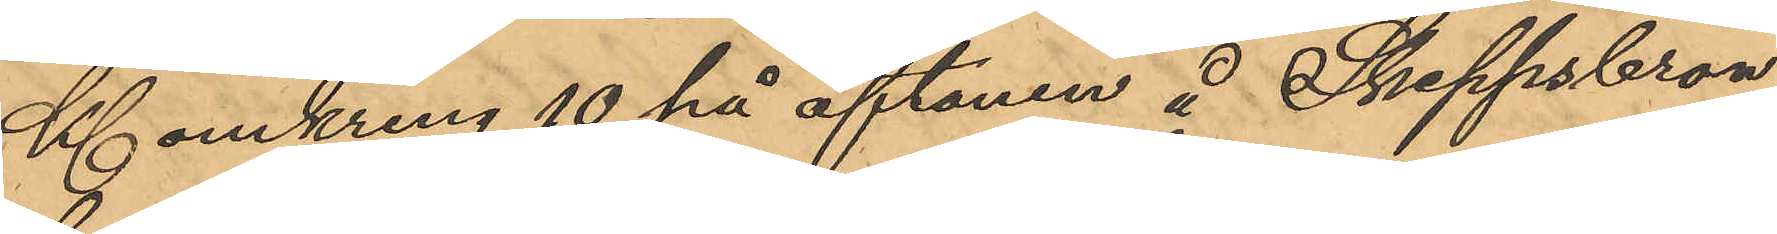Kl omkring 10 på aftonen å Skeppsbron
